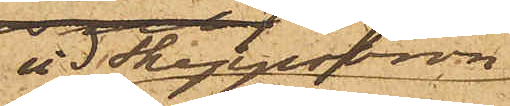vid Skeppsbron
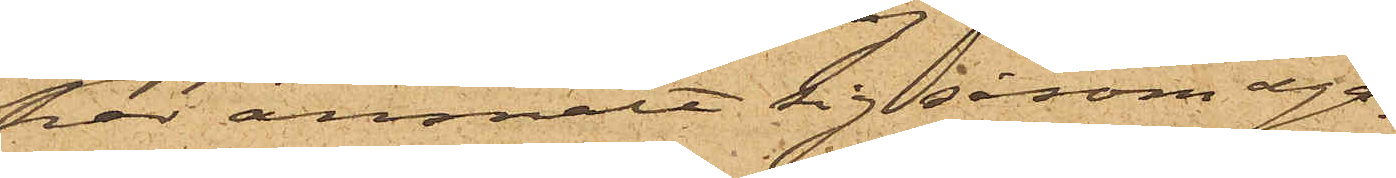har anmält sig såsom ega¬
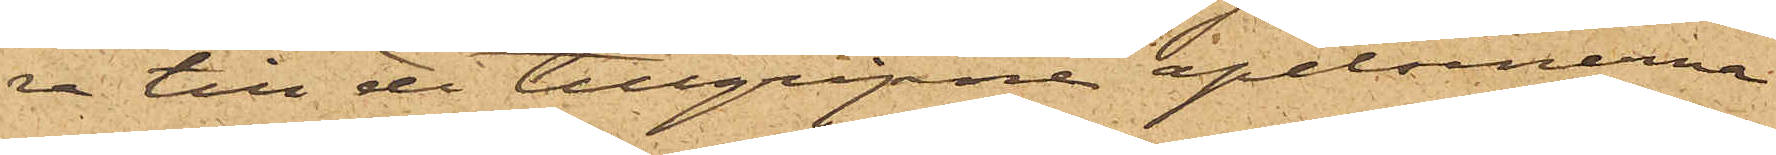re till de tillgripne apelsinerna
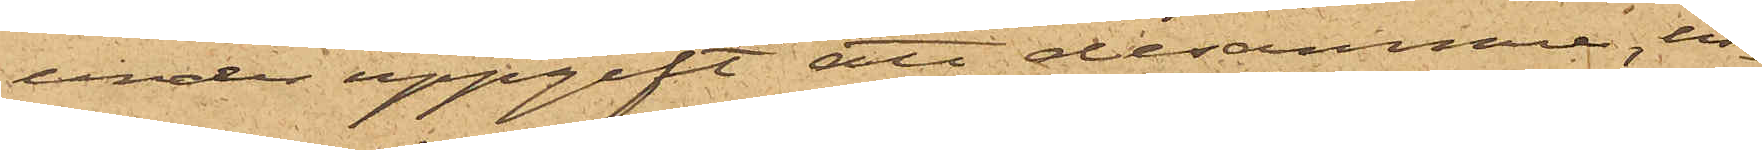under uppgift att desamma, in¬
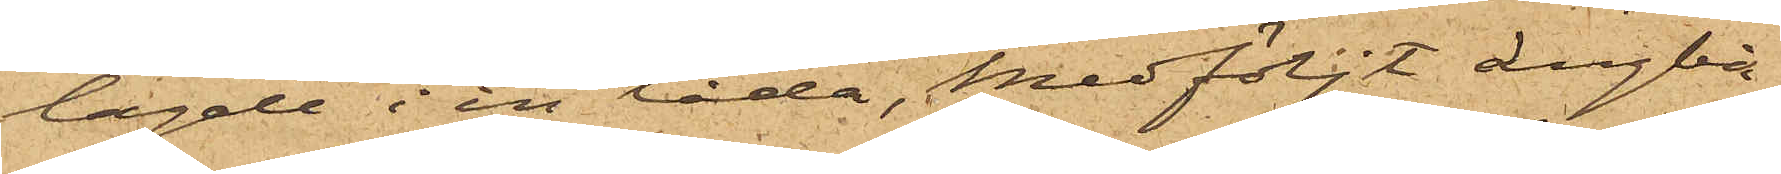lagde i en låda, medföljt ångbå¬
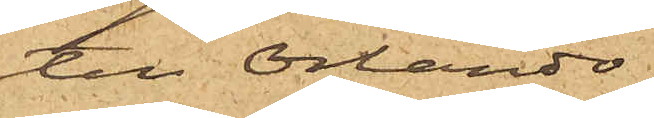ten Orlando
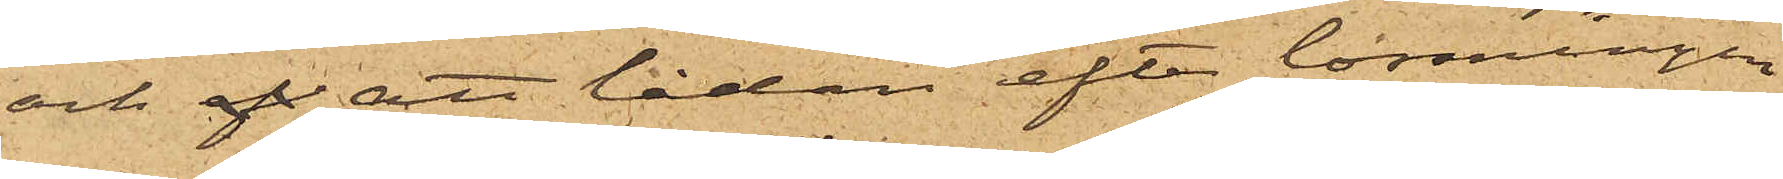och af att lådan efter lossningen
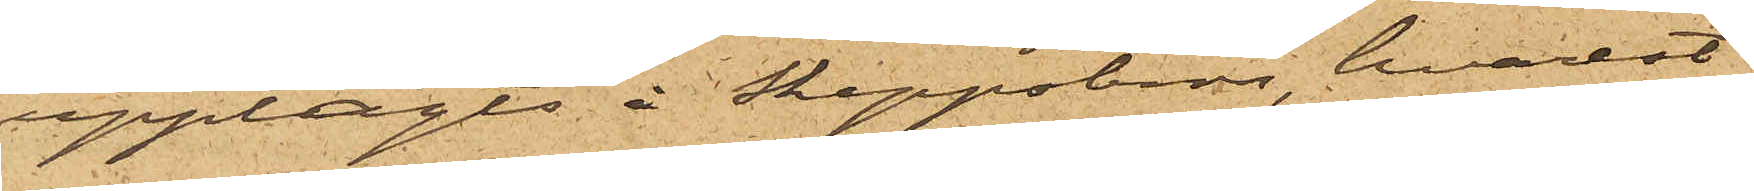upplagts å Skeppsbron, hvarest
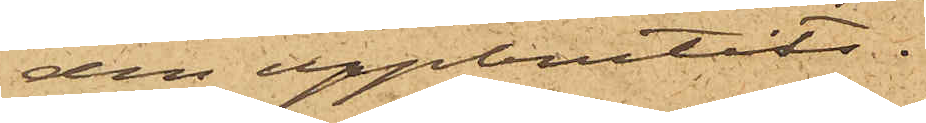den uppbrutits.
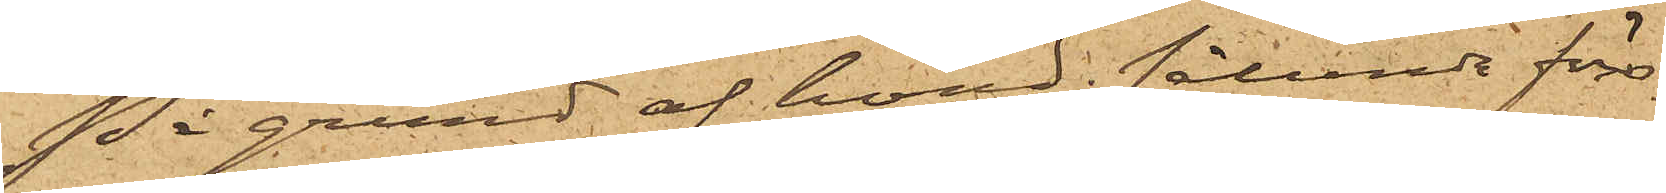På grund af hvad sålunda före¬
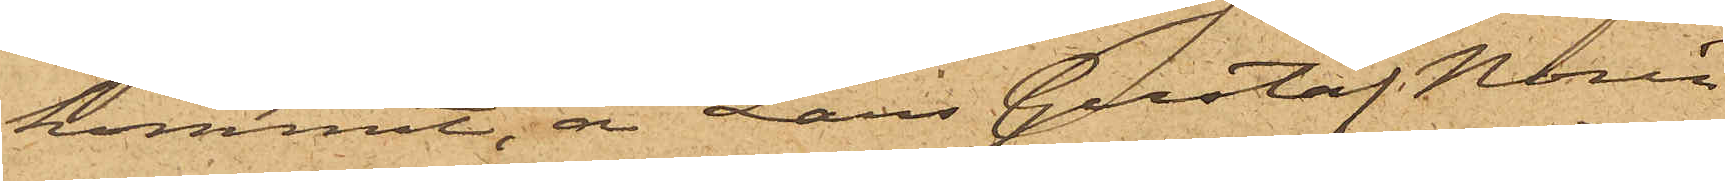kommit, är Lars Gustaf Norén
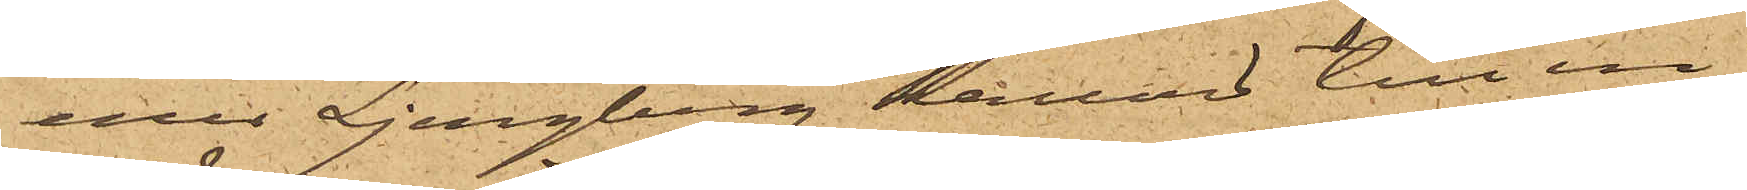eller Ljungberg kallad till in¬
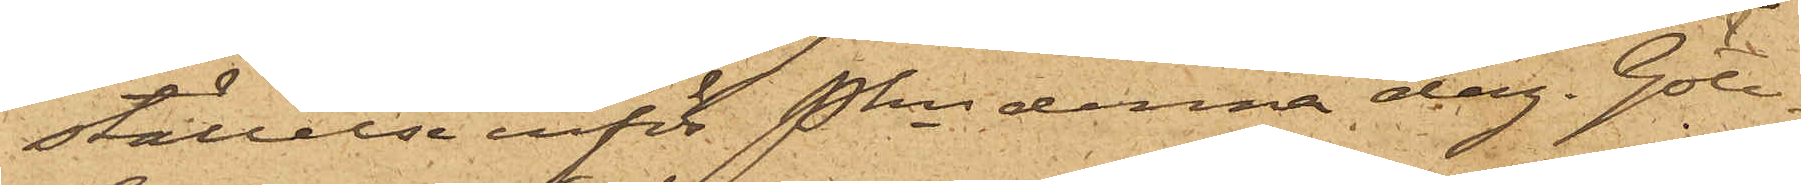ställelse inför Pkn denna dag. Göte¬
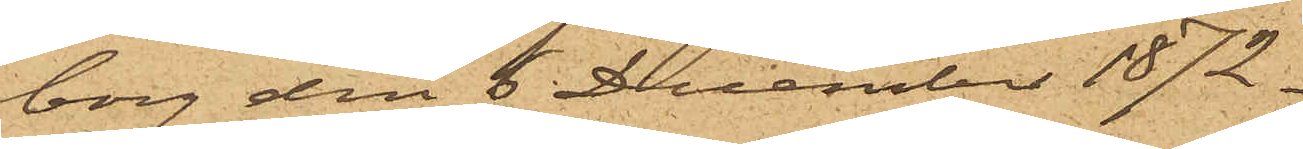borg den 6 December 1872.
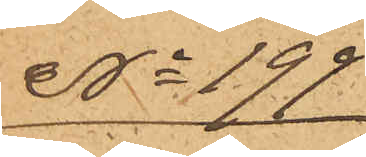No 199
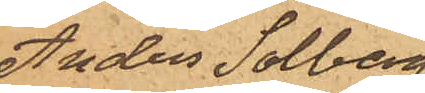Anders Solberg
